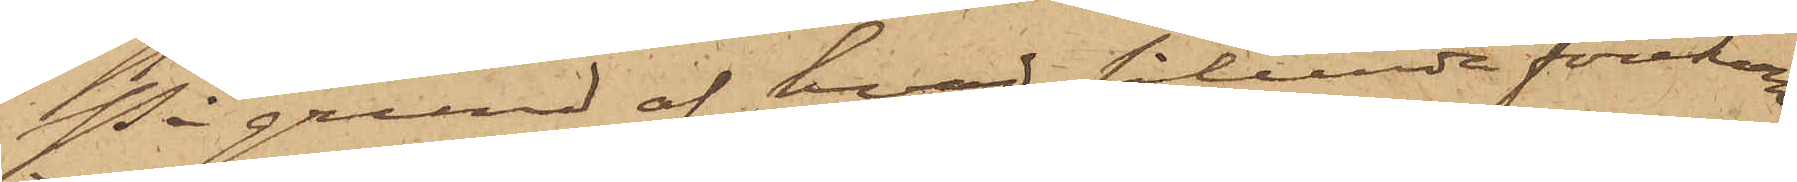På grund af hvad sålunda förekom¬
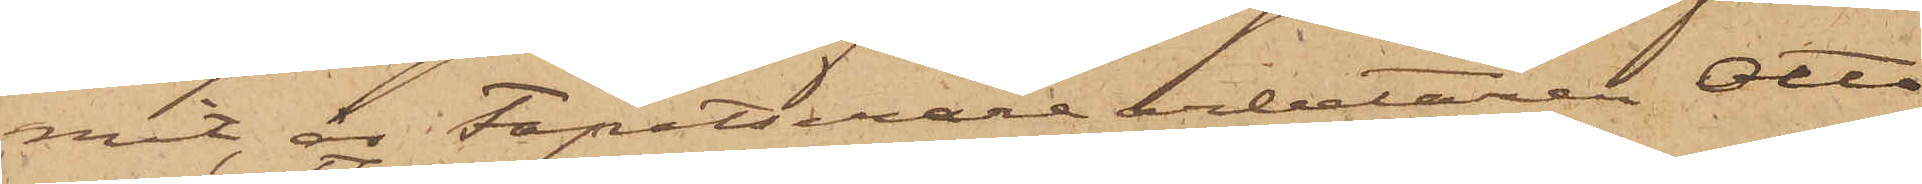mit, är Tapetserarearbetaren Otto
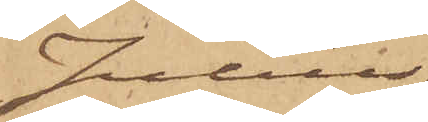Julius
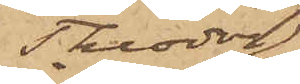Theodor
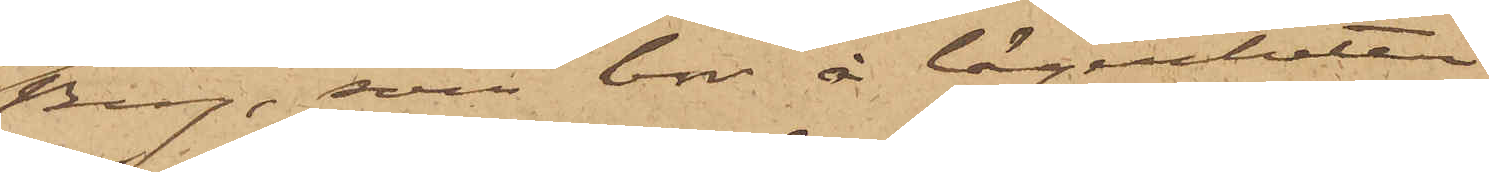Berg, som bor å lägenheten
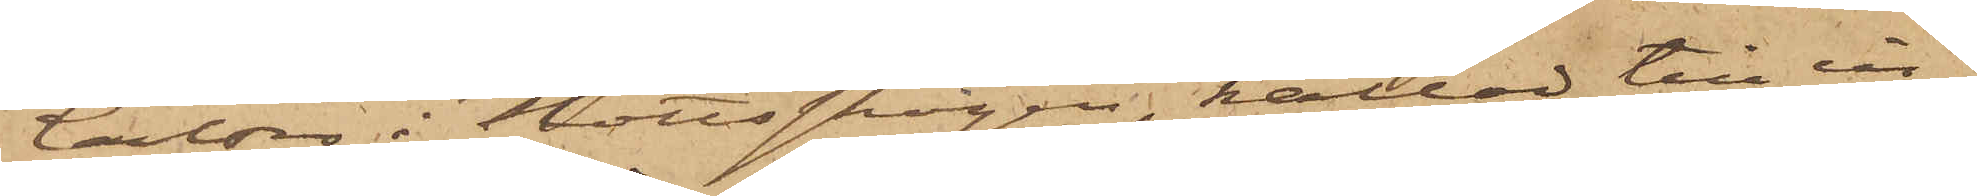Carlsro i Slottsskogen, kallad till in¬
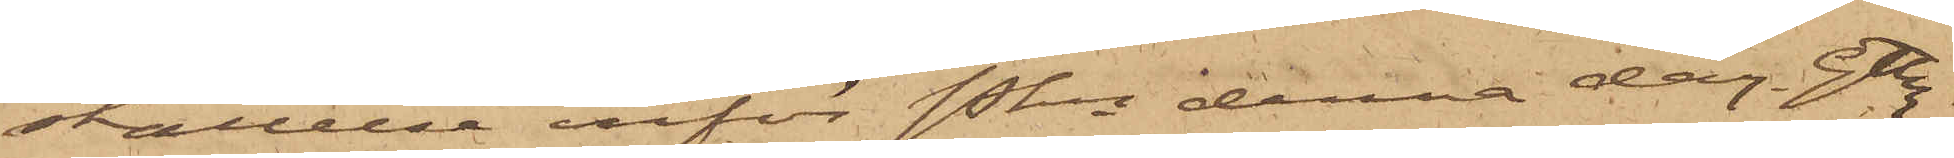ställelse inför Pkn denna dag. Gtbg
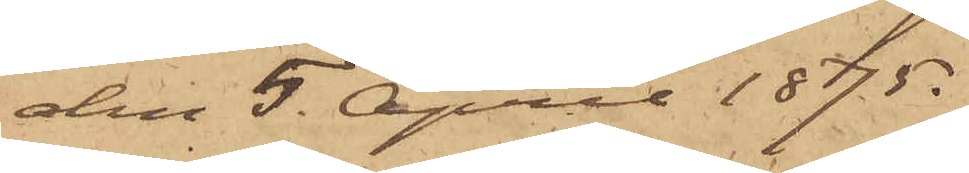den 5 April 1875.
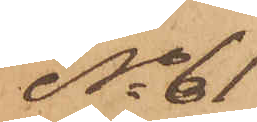No 61
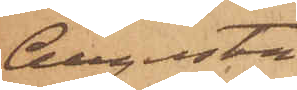Augusta
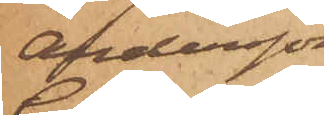Andersson
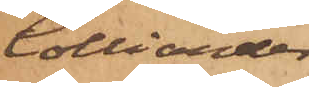Colliander
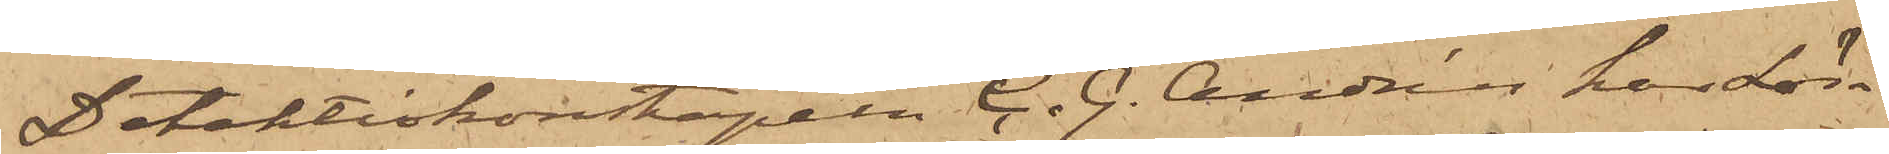Detektivkonstapeln C. G. Andrén har Lör¬
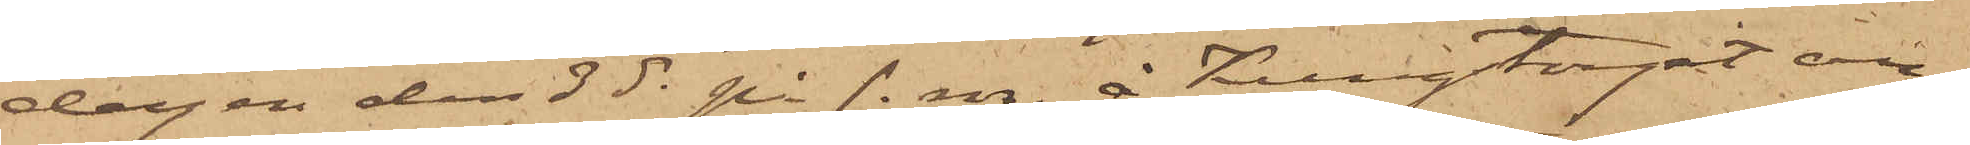dagen den 3 ds på f. m. å Kungstorget an¬
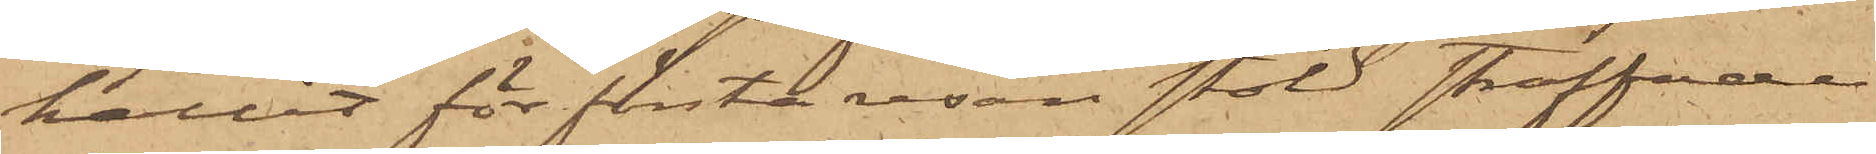hållit för första resan stöld straffade
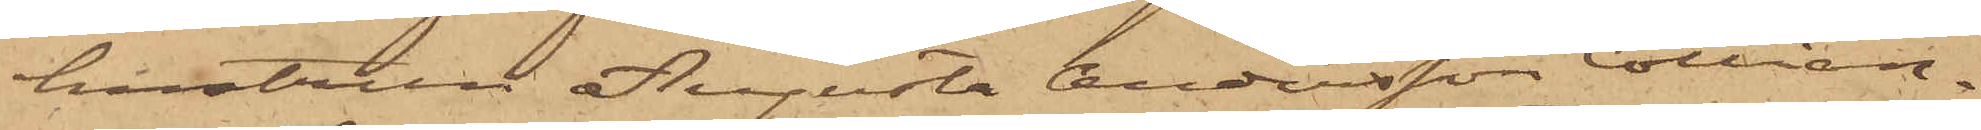hustrun Augusta Andersson Collian¬
